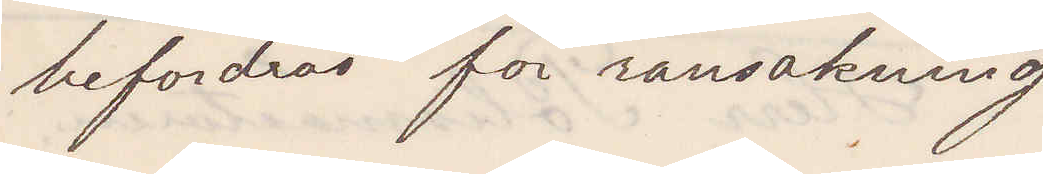befordras för ransakning
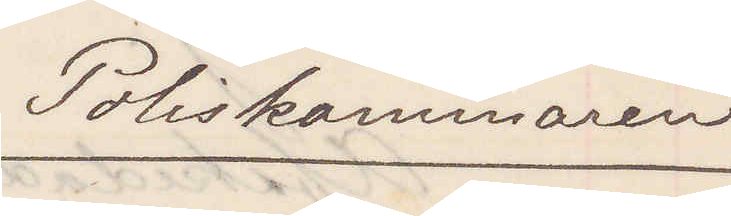Poliskammaren
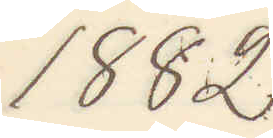1882
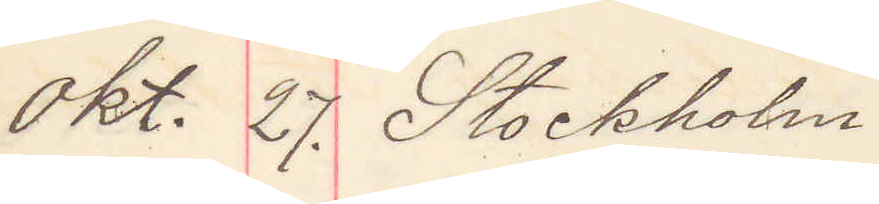Okt. 27. Stockholm.
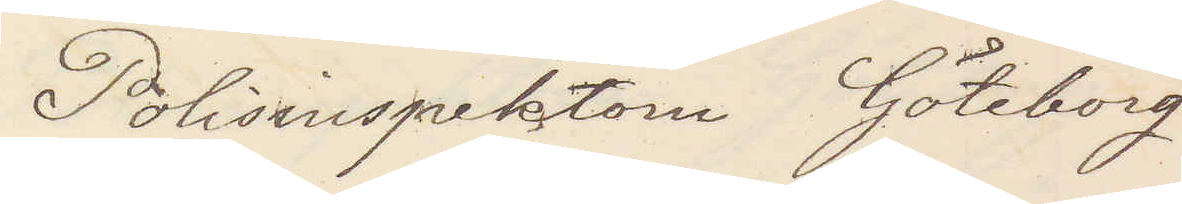Polisinspektorn Göteborg
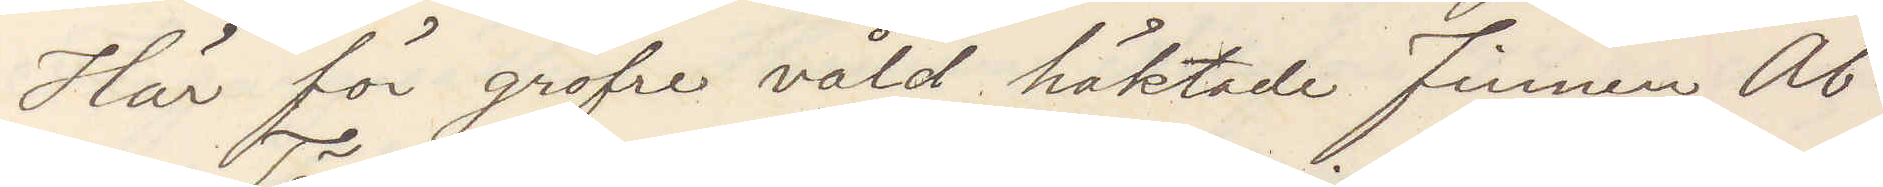Här för gröfre våld häktade Finnen Ab¬
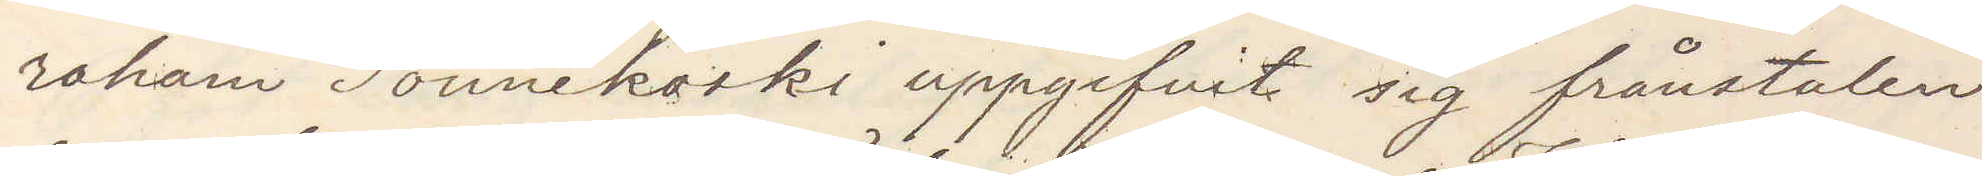raham Tönnekoski uppgifvit sig frånstulen
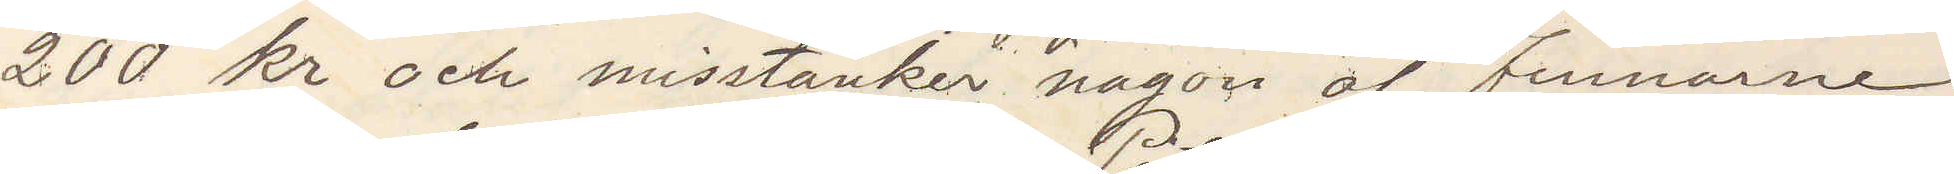200 kr och misstänker någon af Finnarne
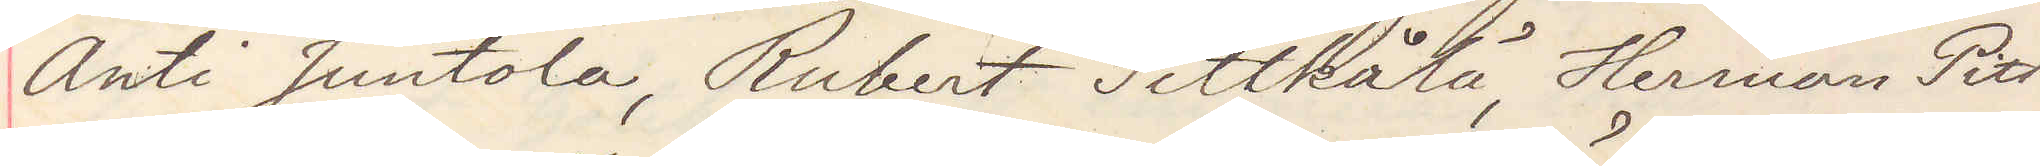Anti Juntola, Rubert Pittkålä, Herman Pitt¬
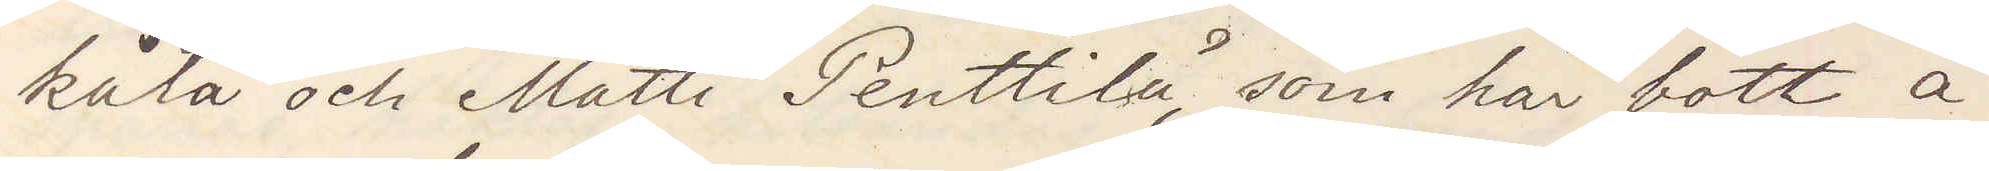kålä och Matti Penttilä, som här bott å
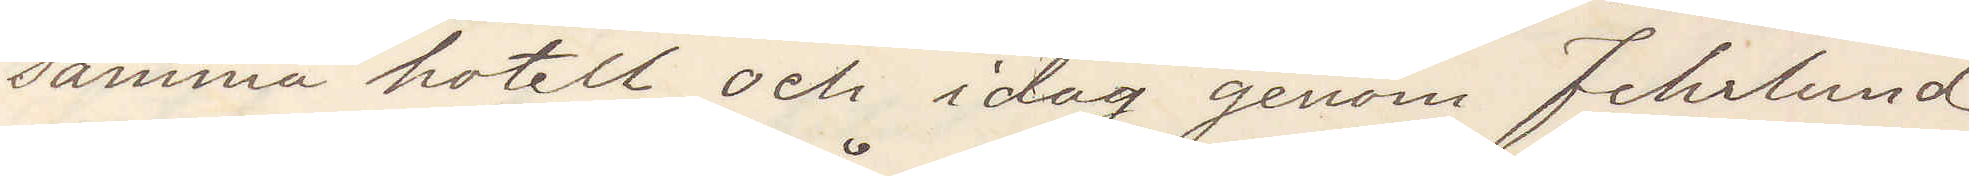samma hotell och idag genom Fehrlund
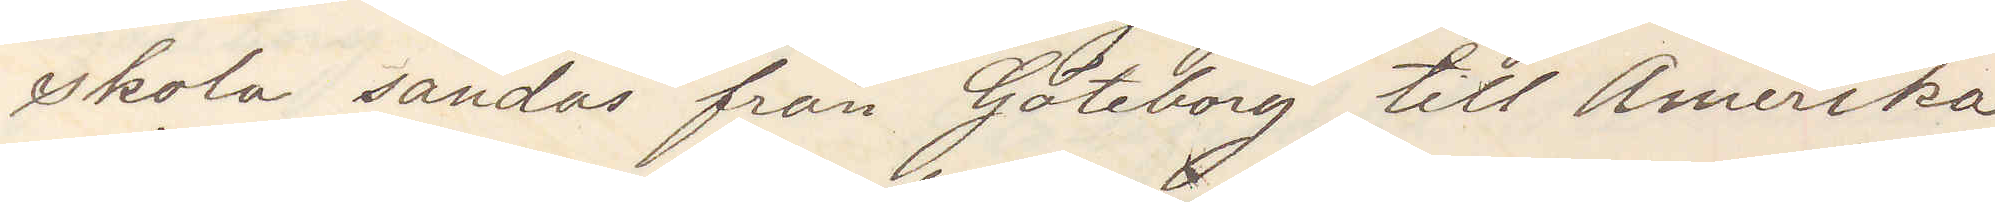skola sändas från Göteborg till Amerika.
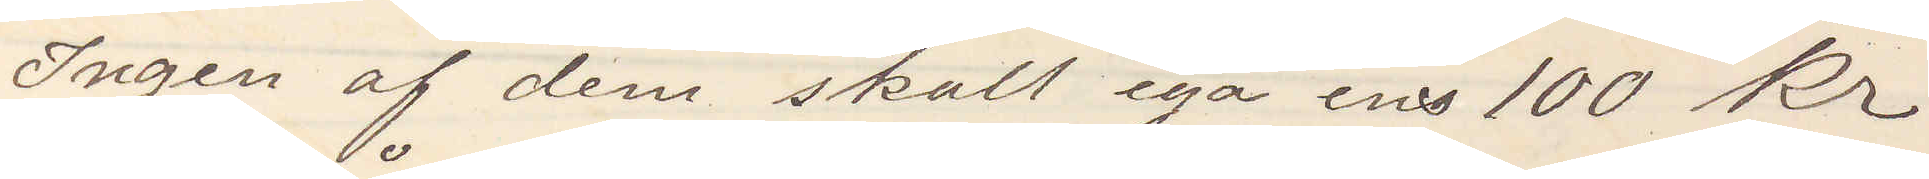Ingen af dem skall ega ens 100 Kr
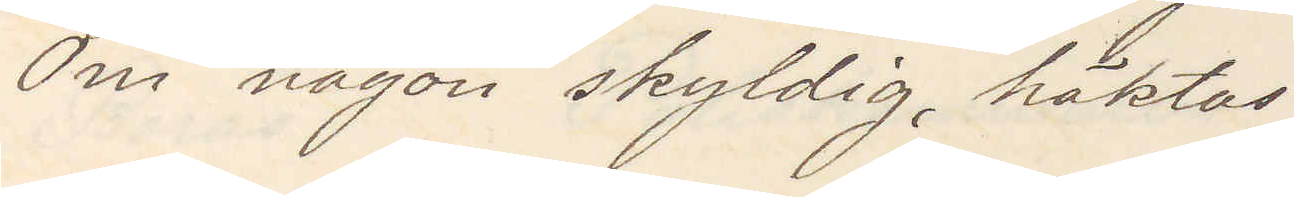Om någon skyldig, häktas.
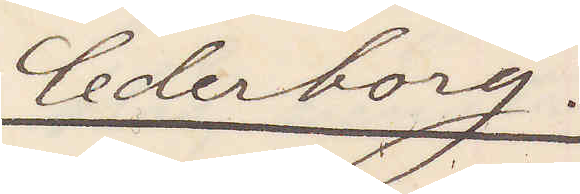Cederborg.
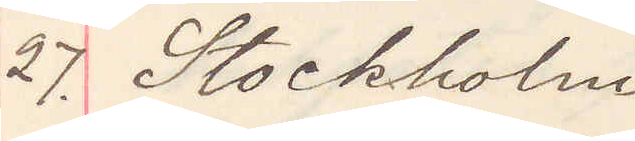27. Stockholm
